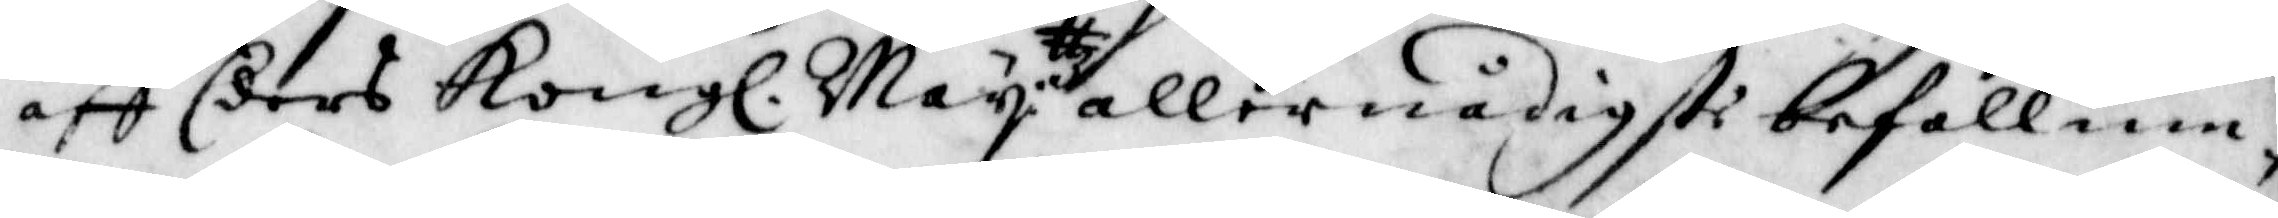aff Eders Kongl. Maij:ttz aller nådigste befallnin¬
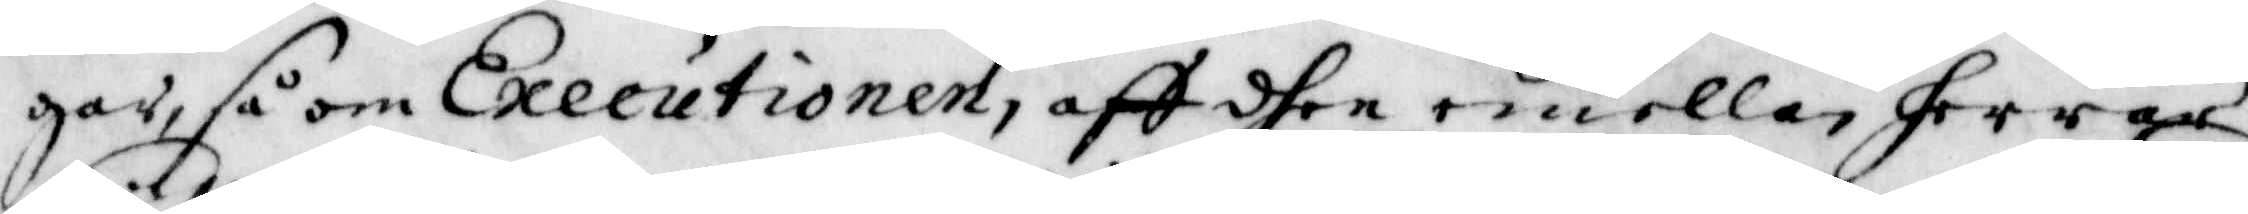gar, så om Executionen, aff dhen emellan herrar
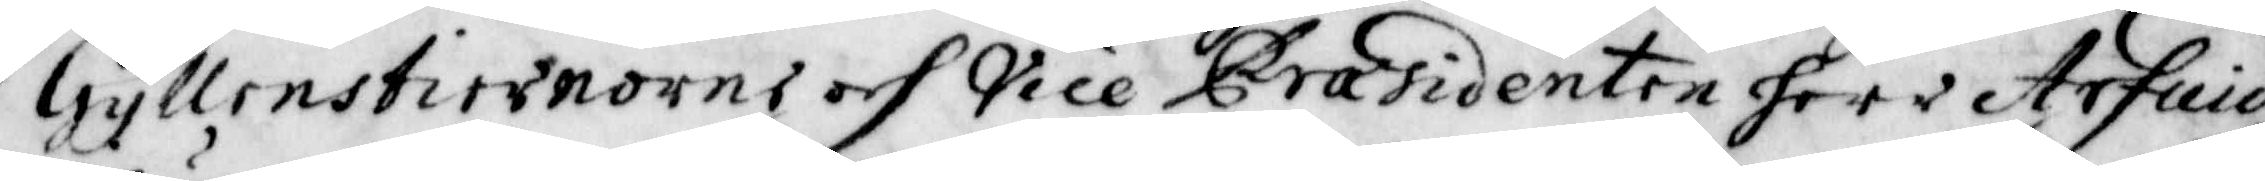Gyllenstiernorne och Vice Praesidenten herr Arfuid
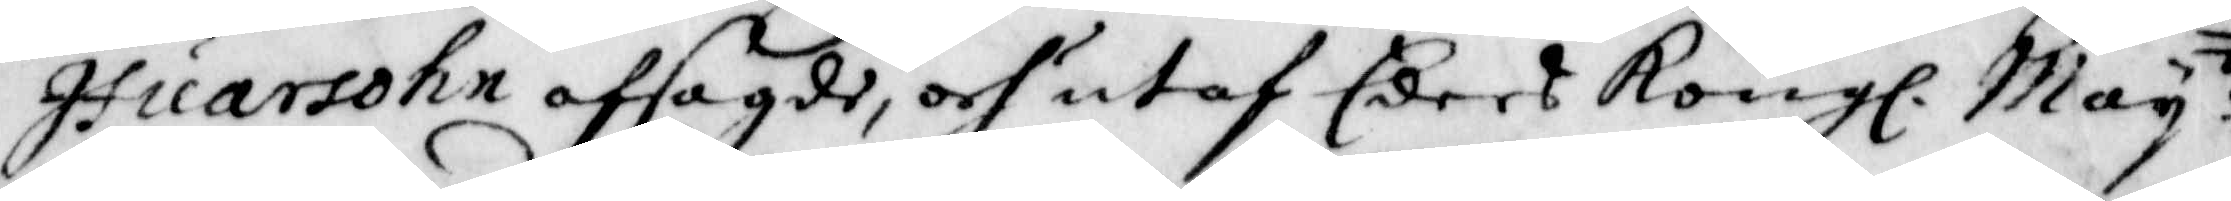Ifuarsohn afsagde, och utaf Eders Kongl. Maij:tt
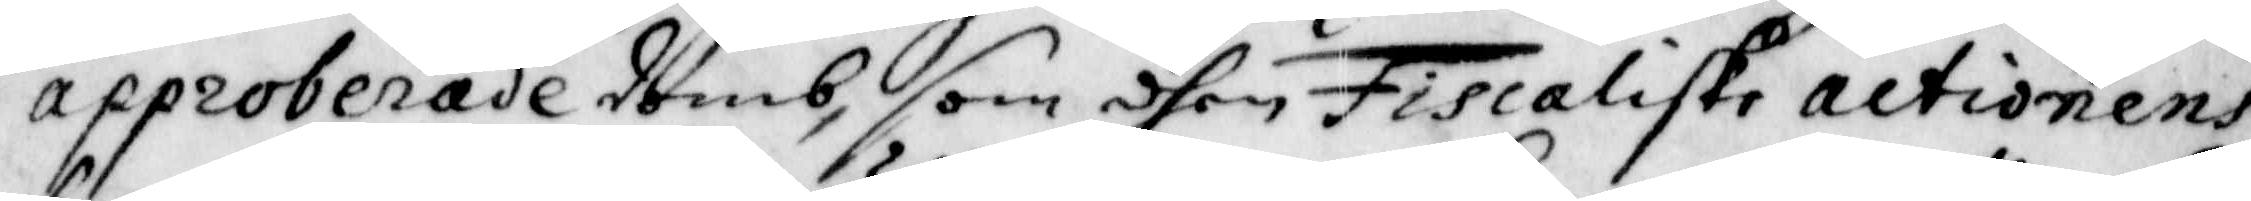approberade domb, som dhen Fiscaliske Actionens
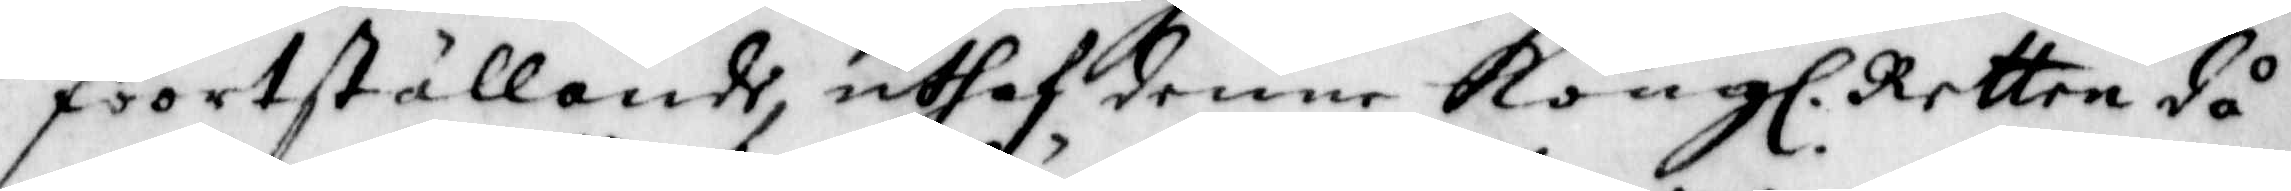foortställande, uthaf denne Kongl. Retten då
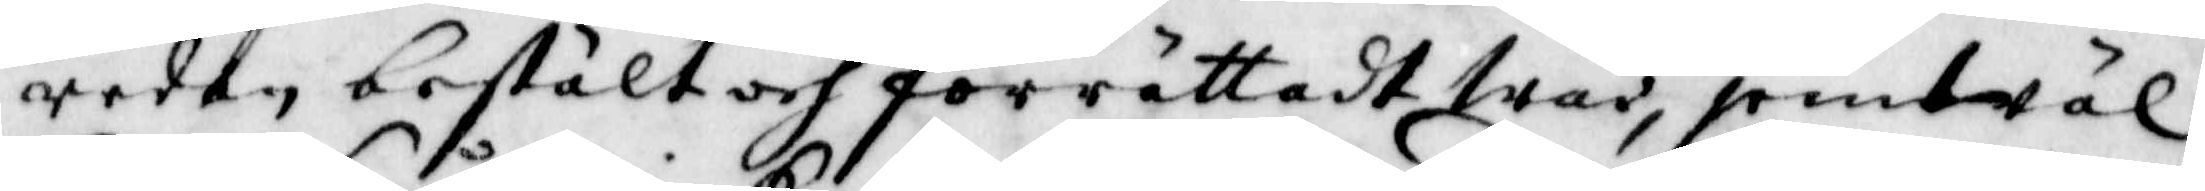redan bestält och förrättadt war, jemwäl
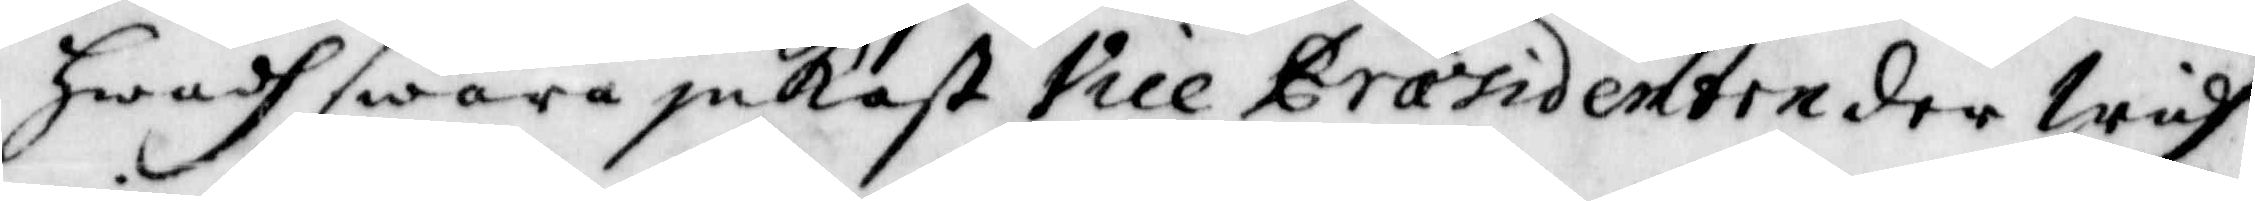hwadh swåra inkast Vice Praesidenten der widh
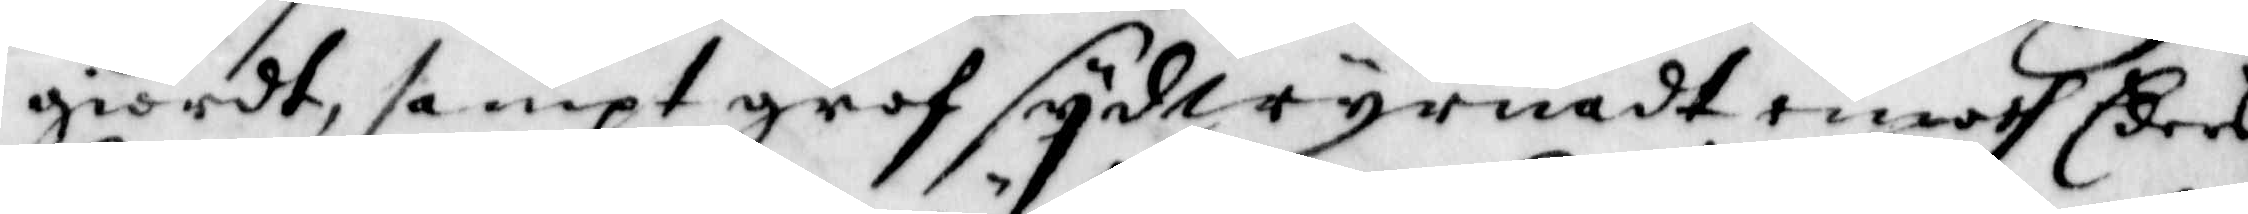giordt, samt grof sijdwyrnadt emoth Eders
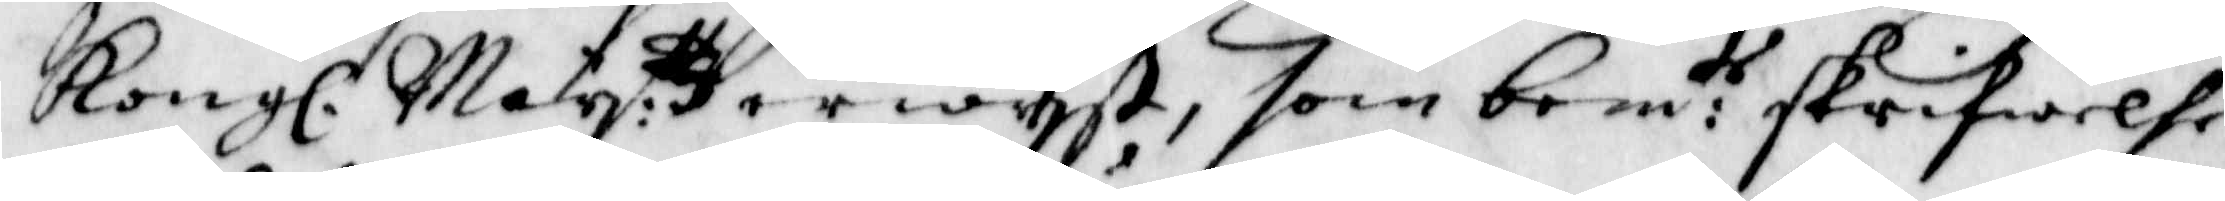Kongl. Maij:ttz erwijst, som bem:te skrifwelse
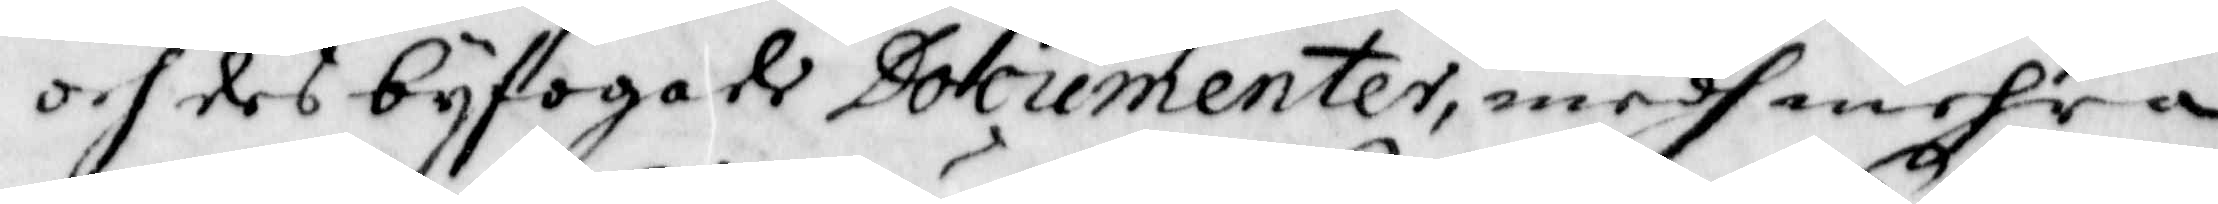och des bijfogade Documenter, medh mehra
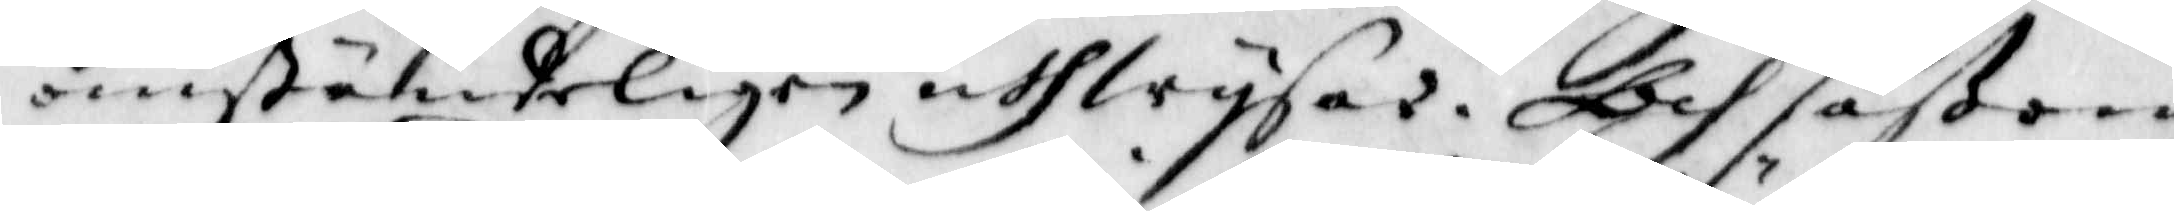omständeligen uthwijsar. Och såßom
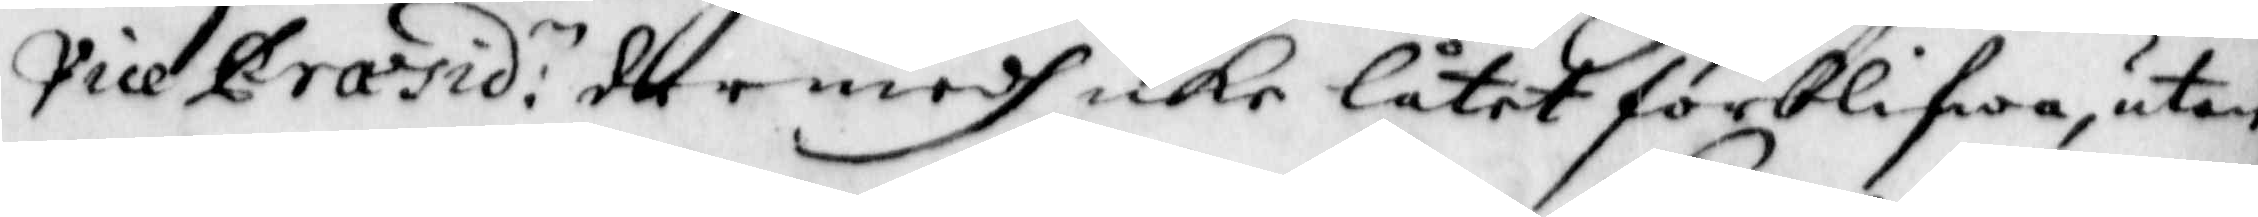Vice Praesid:n der medh icke låtet förblifwa, utan
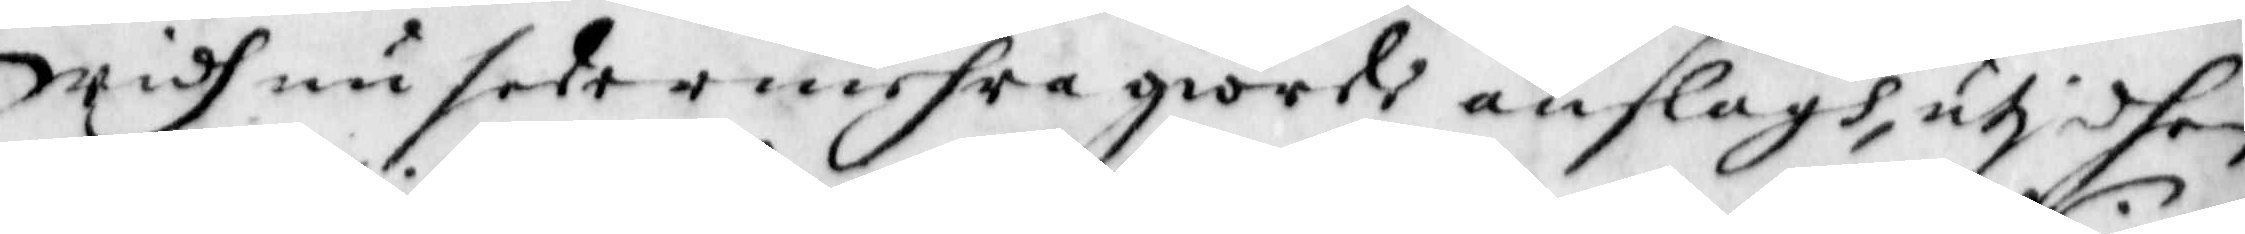widh nu sedermehra giorde anslagh, utj dhen
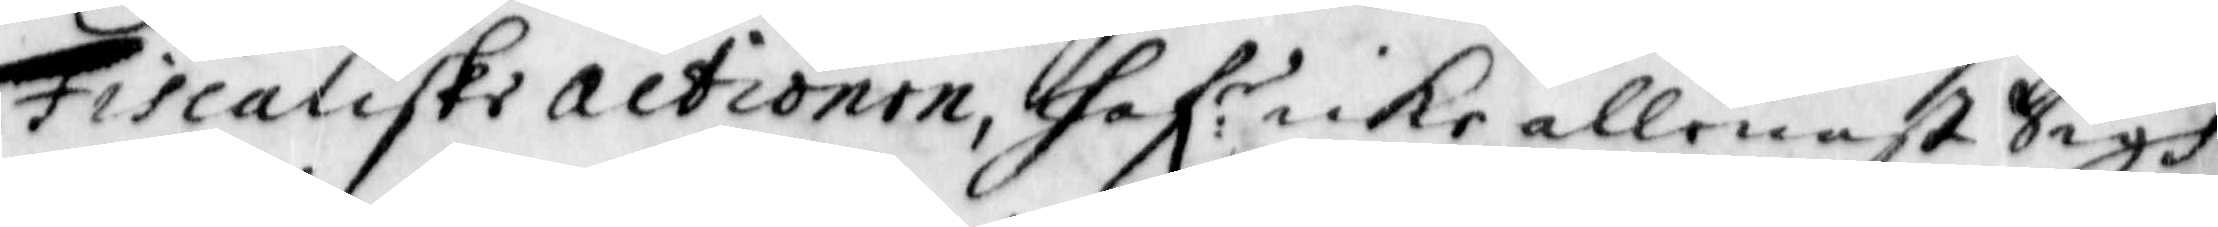Fiscaliske Actionen, haf:r icke allenast sigh
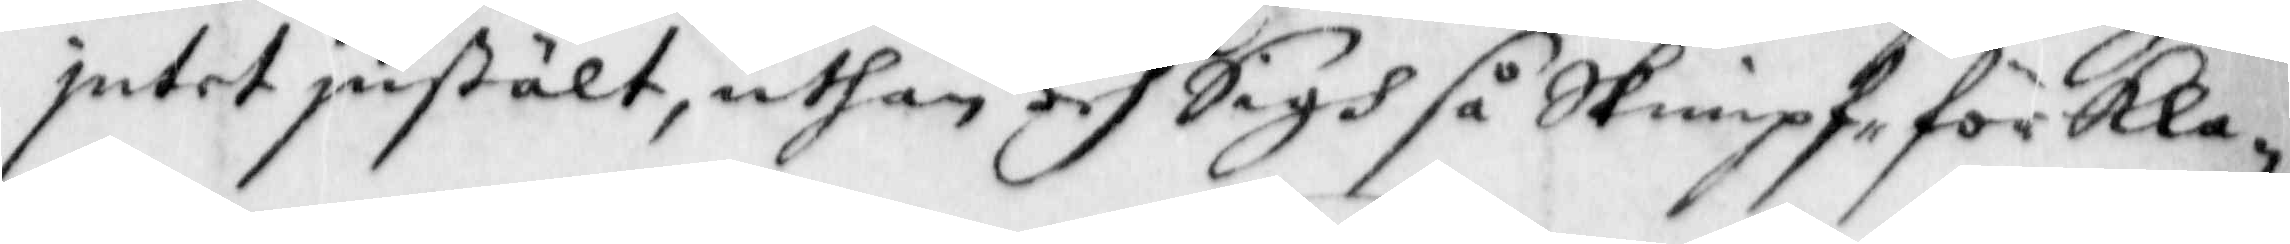jntet jnstält, uthan och sigh så Skimpf för Kla¬
